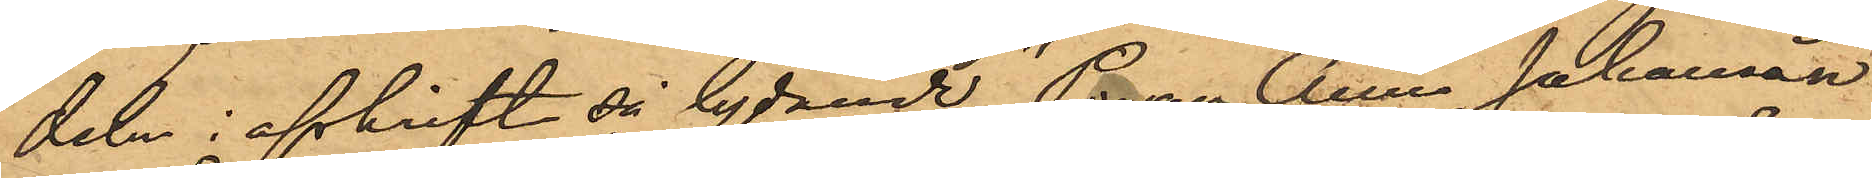deln i afskrift så lydande "Pigan Anna Johansson
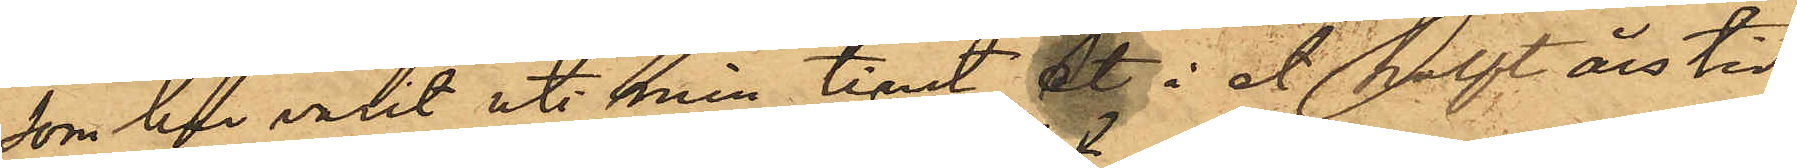som har varit uti min tjenst & i et halft års tid
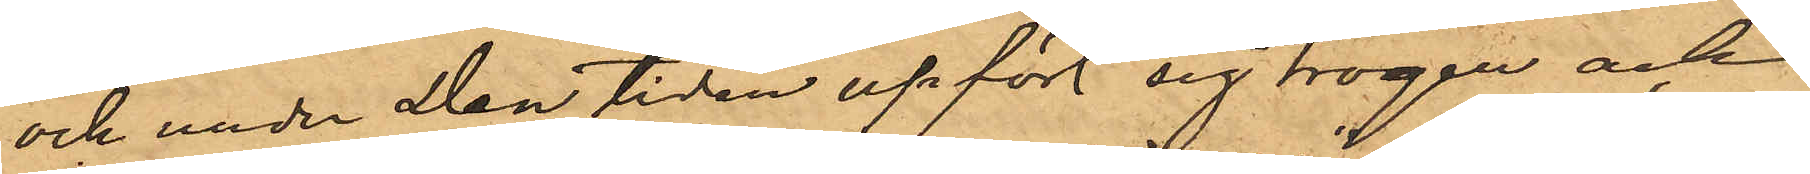och under den tiden upfört sig trogen och
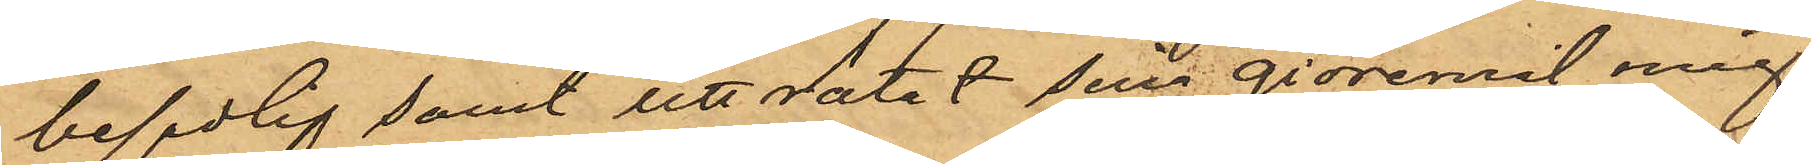beskedlig samt uträttat sina giöremål mig
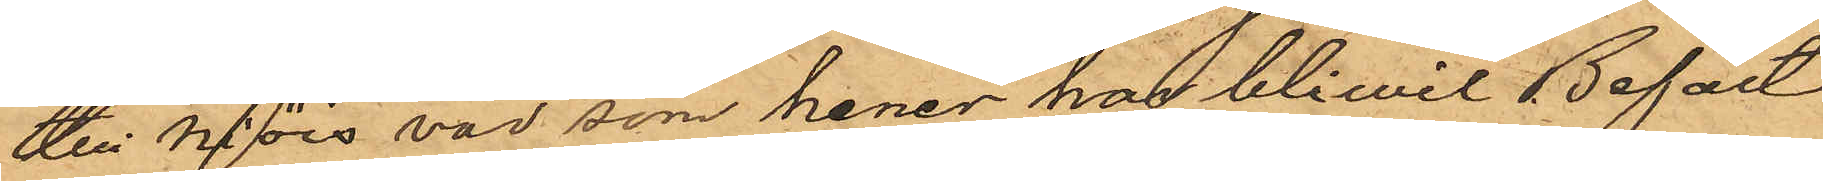till nöies vad som hener har bliwit Befalt
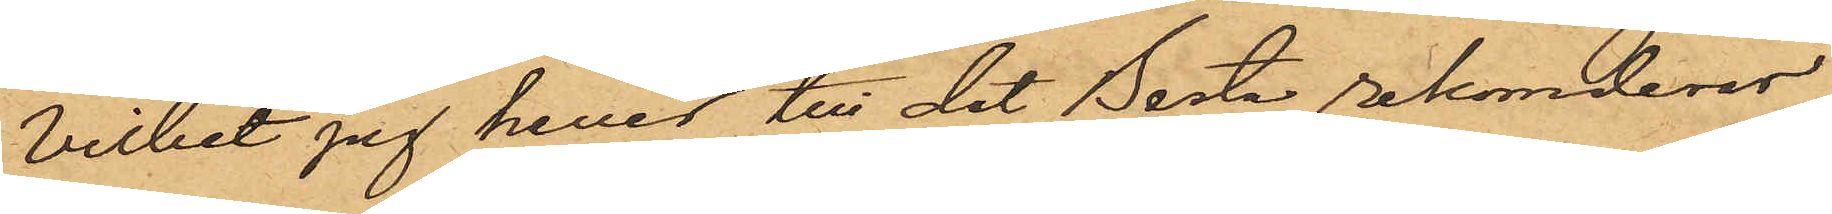vilket jag hener till det Besta rekomderar.
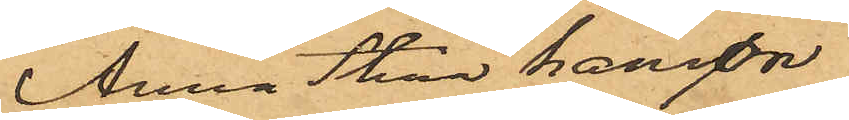Anna Stina Hansson
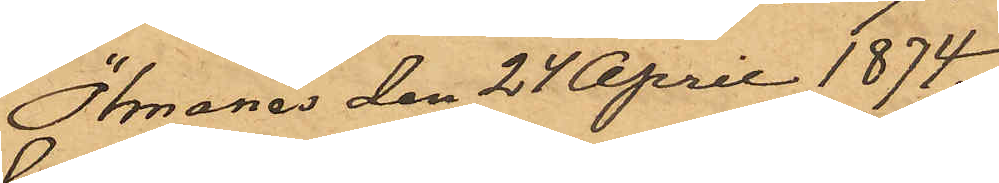Ölmanes den 24 April 1874."
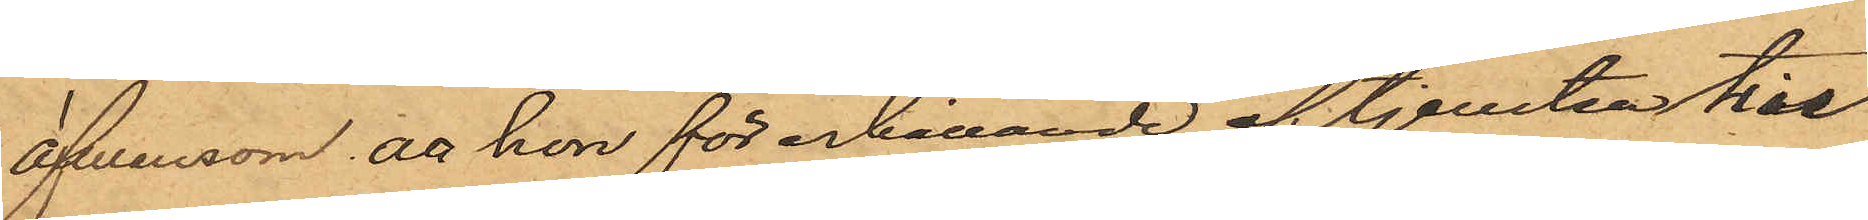äfvensom att hon för erhållande af tjensten till
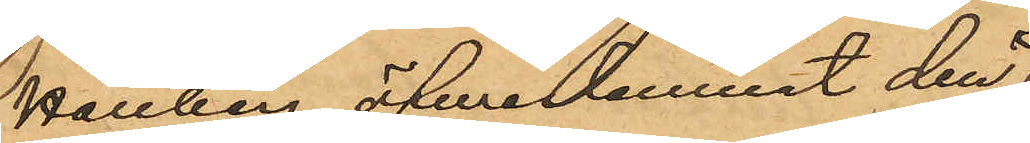Hallberg öferlemnat den¬
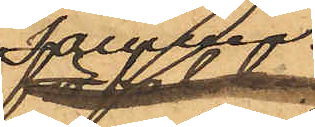samma.
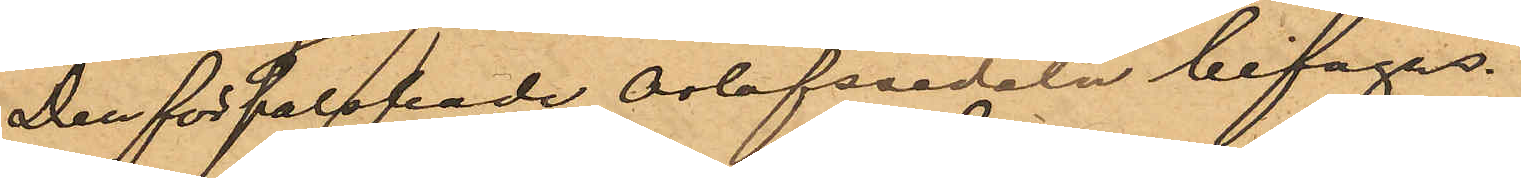Den förfalskade orlofssedeln bifogas.
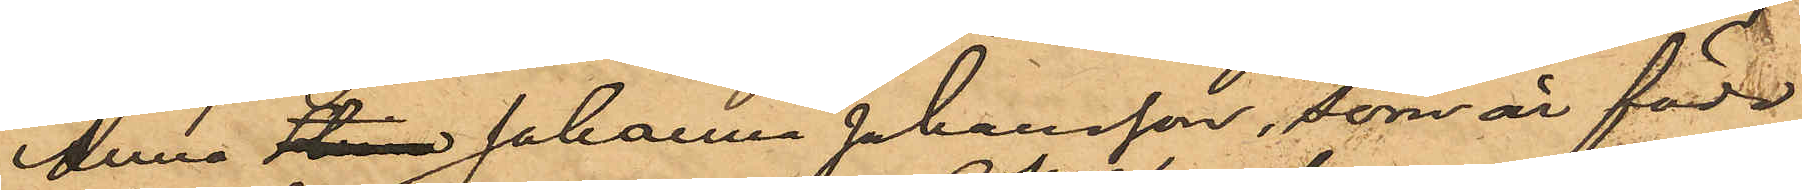Anna Stina Johanna Johansson, som är född
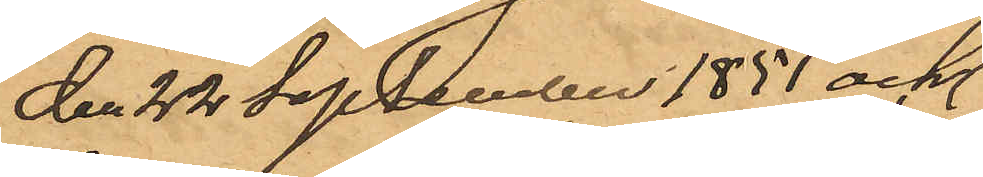den 22 September 1851 och
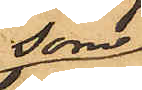som
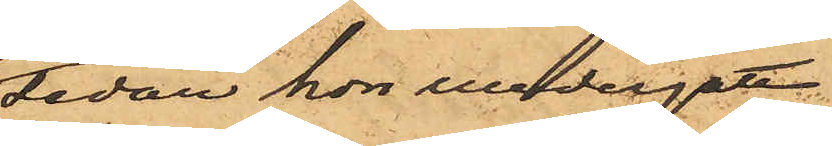sedan hon undergått
